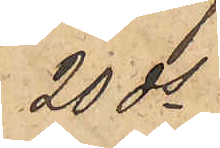20 ds
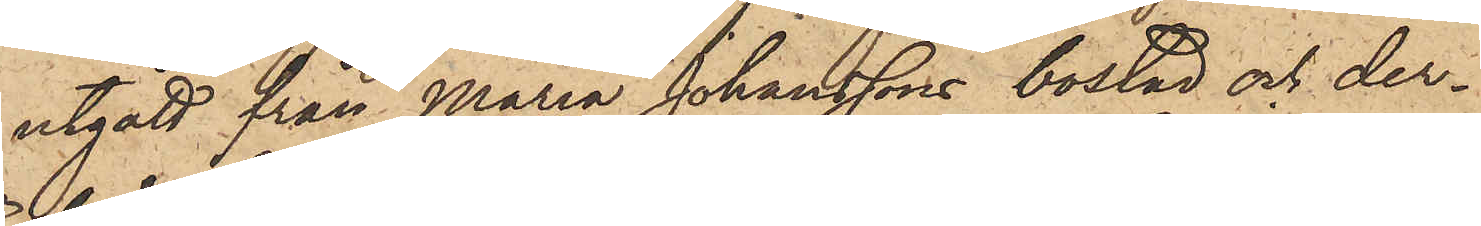utgått från Maria Johanssons bostad och der¬
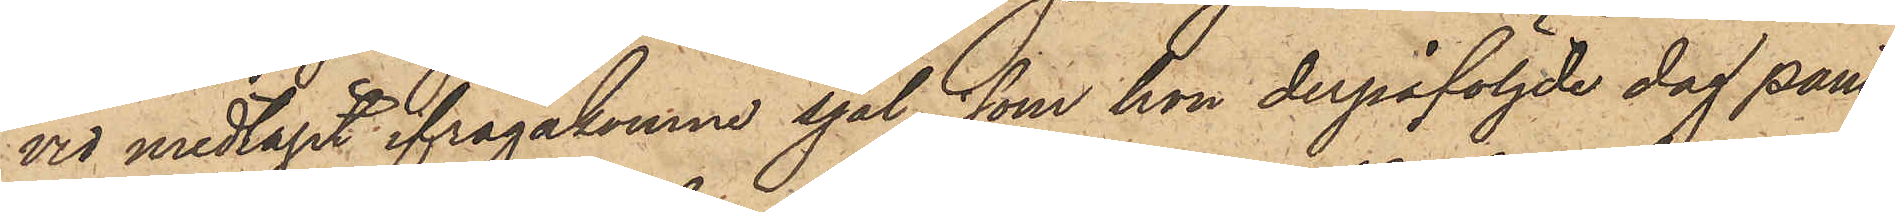vid medtagit ifrågakomne sjal, som hon derpåföljde dag pant¬
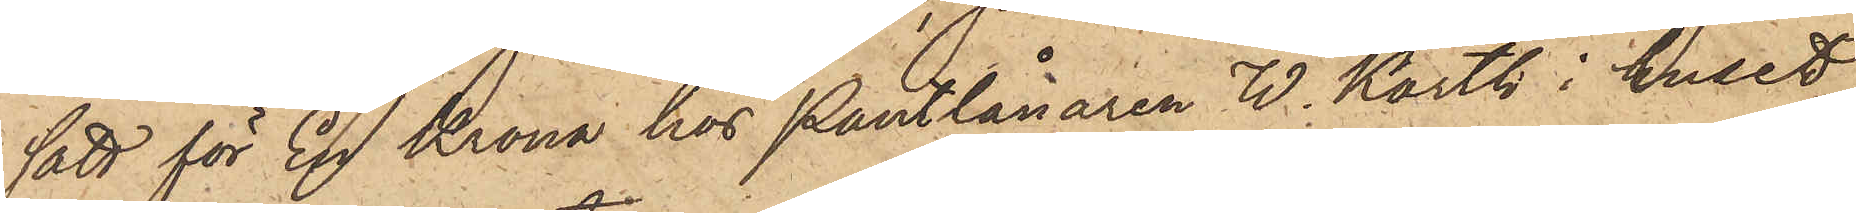satt för En Krona hos Pantlånaren W. Karth i huset
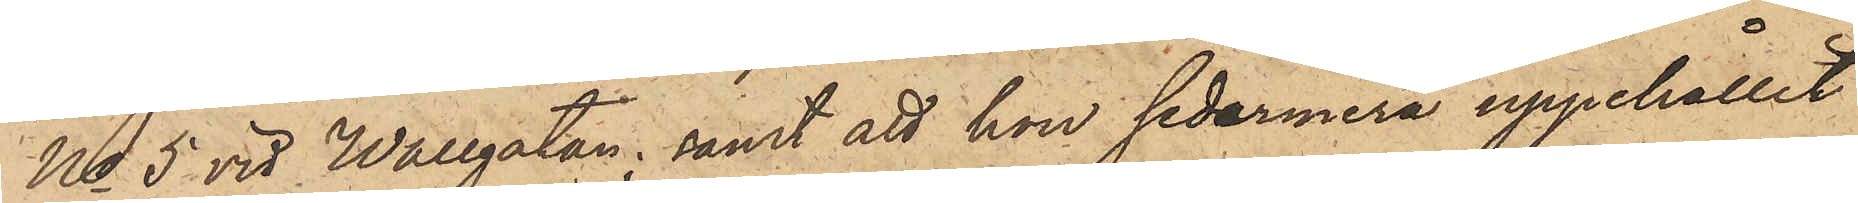No 5 vid Wallgatan; samt att hon sedermera uppehållit
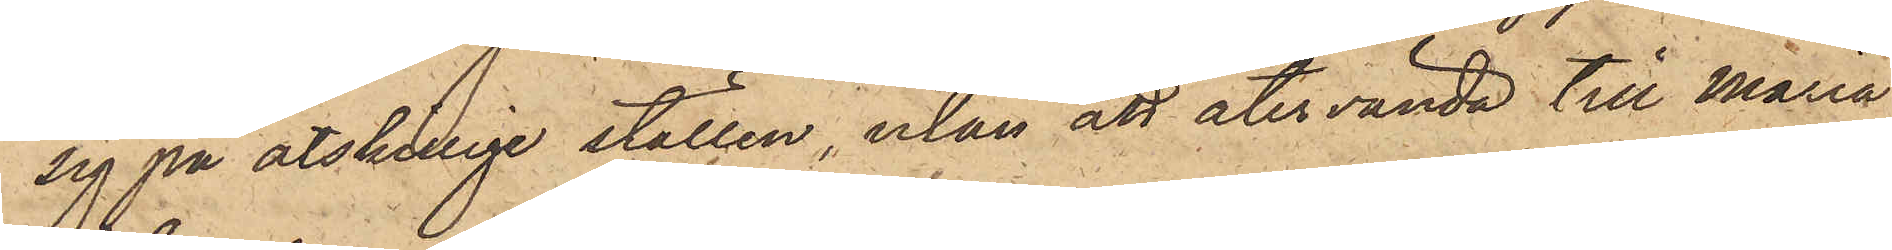sig på åtskillige ställen, utan att återvända till Maria
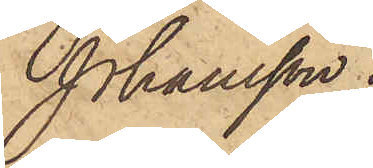Johansson.
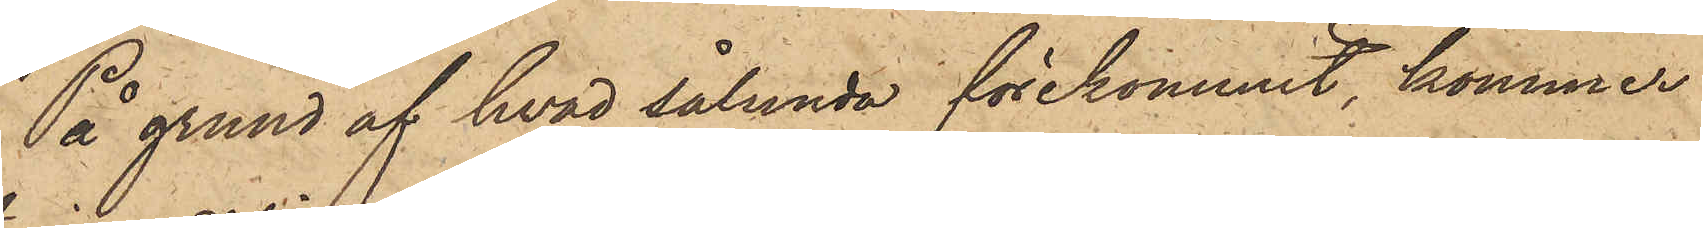På grund af hvad sålunda förekommit, kommer
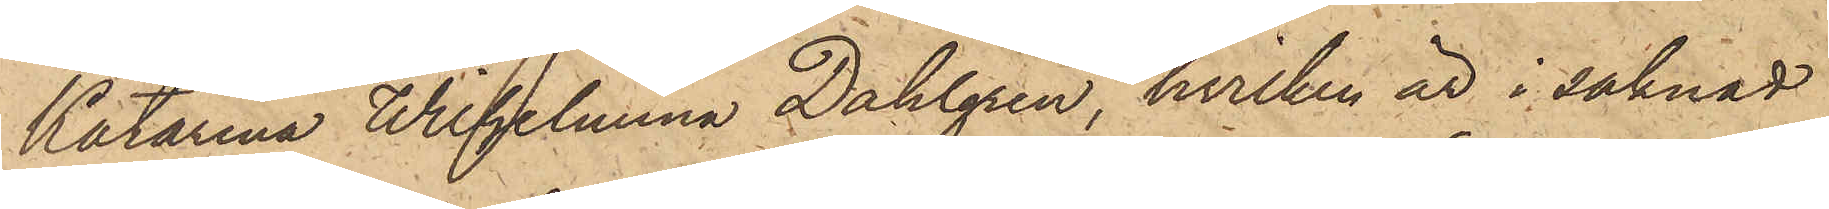Katarina Wilhelmina Dahlgren, hvilken är i saknad
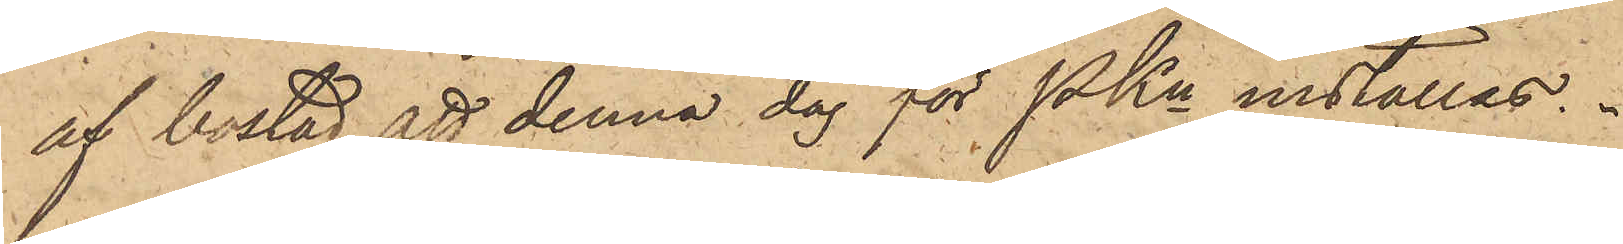af bostad, att denna dag för PKn inställas.
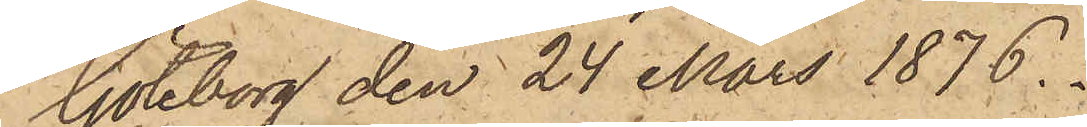Göteborg den 24 Mars 1876.
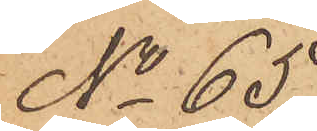No 65
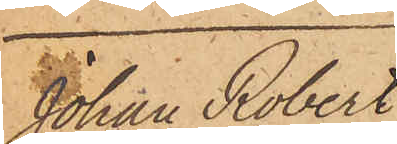Johan Robert
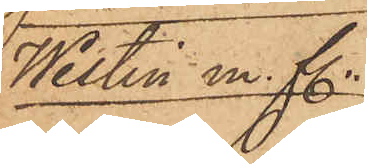Westin m. fl.
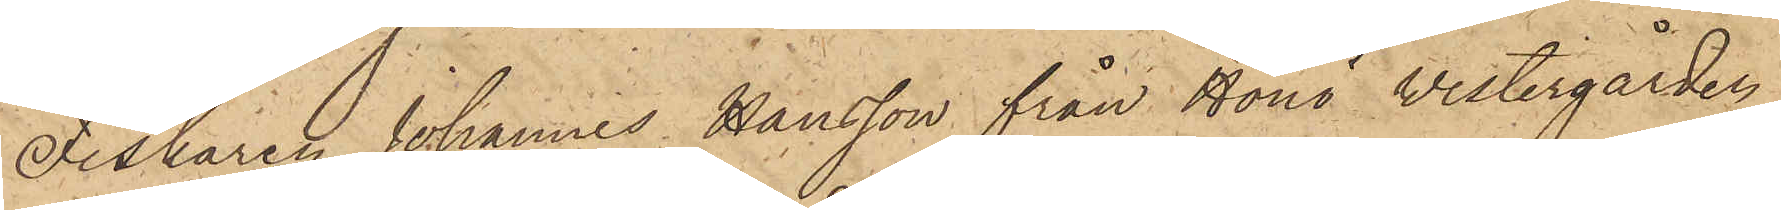Fiskaren Johannes Hansson från Hönö Westergården
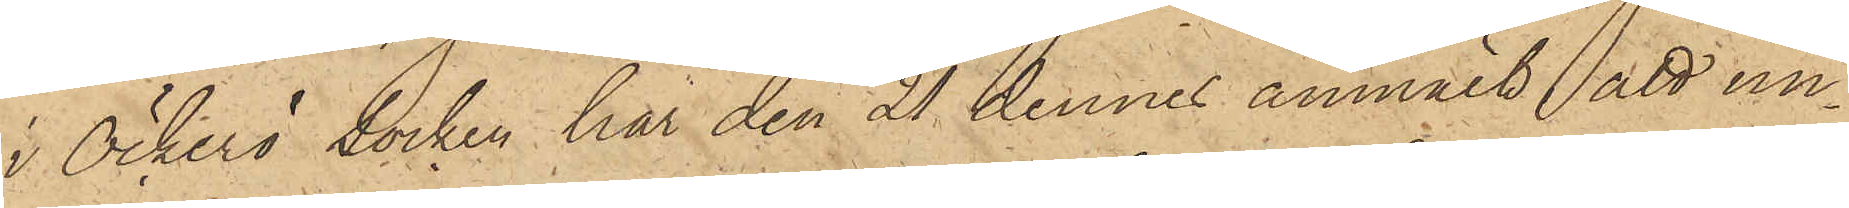i Öckerö socken har den 21 dennes anmält, att un¬
